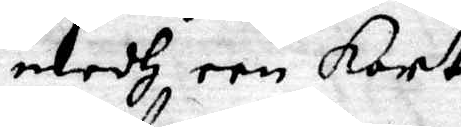medh een Kort
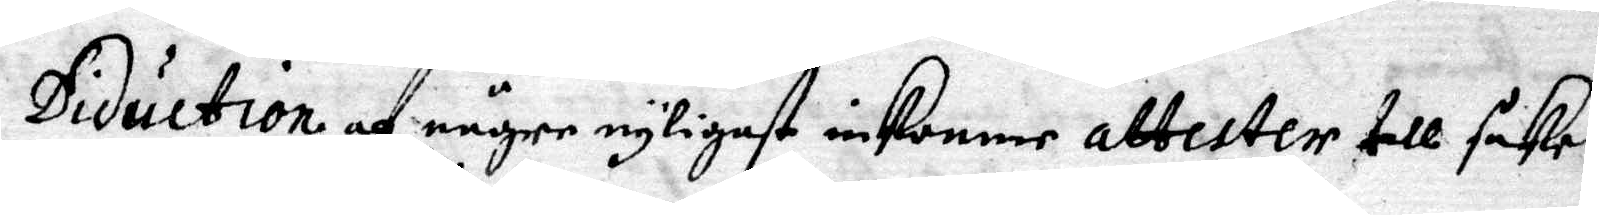Diduction af någre nyligast inkomne attester till saken
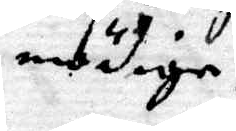nödige.
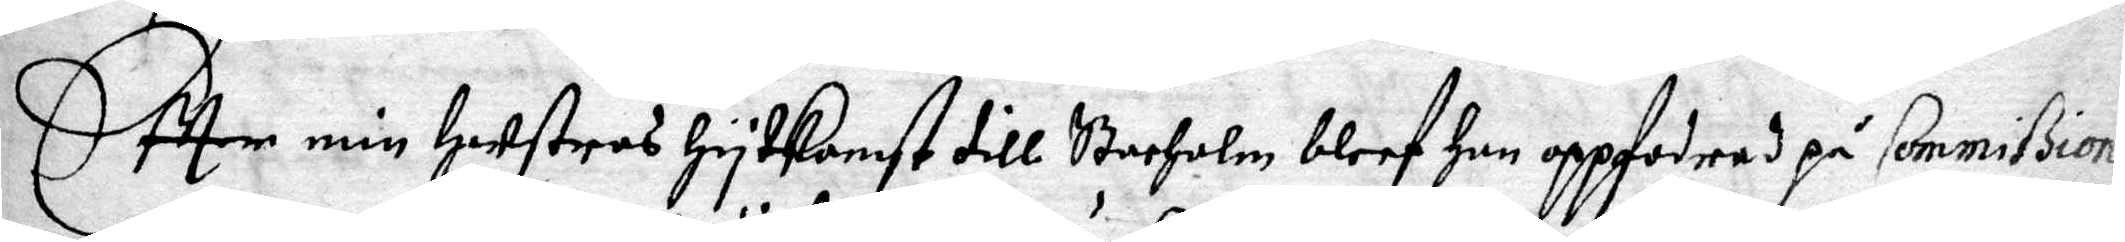Eftter min Hustros Hytkomst till Stocholm bleef Hon oppfodrad på Commißions
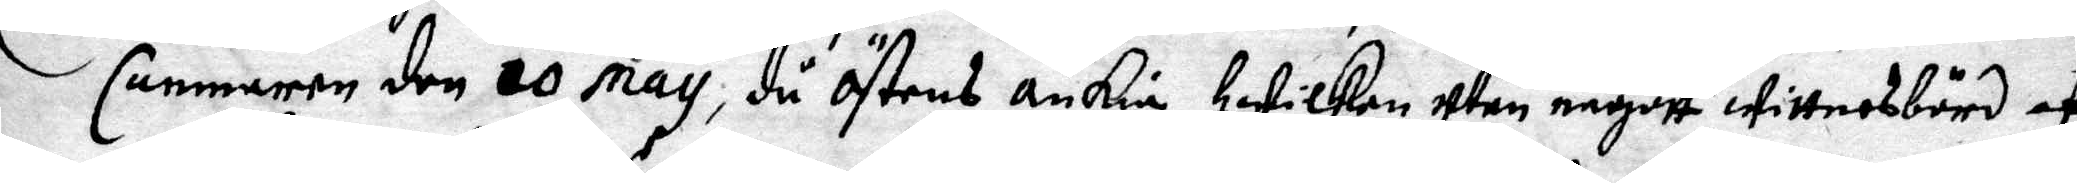Cammaren den 20 May, då Östens änkia Hwilken utan någott wittnesbörd af
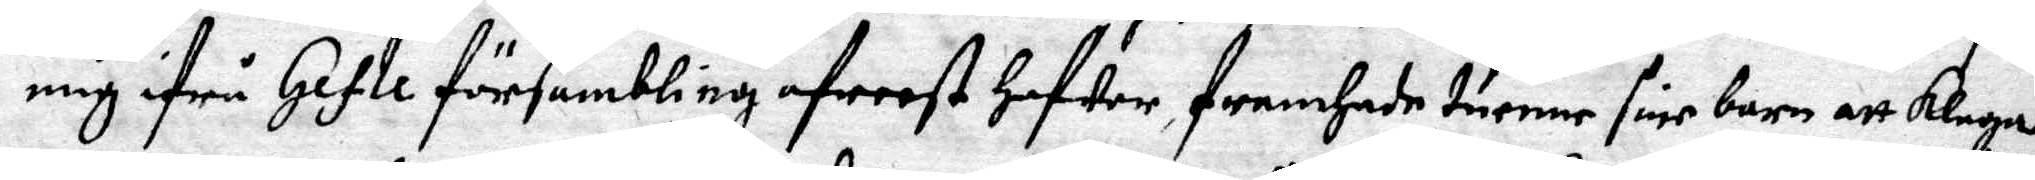mig ifrå Gefle försambling afreest Hafwer, framhade tuenne sine barn att klaga.
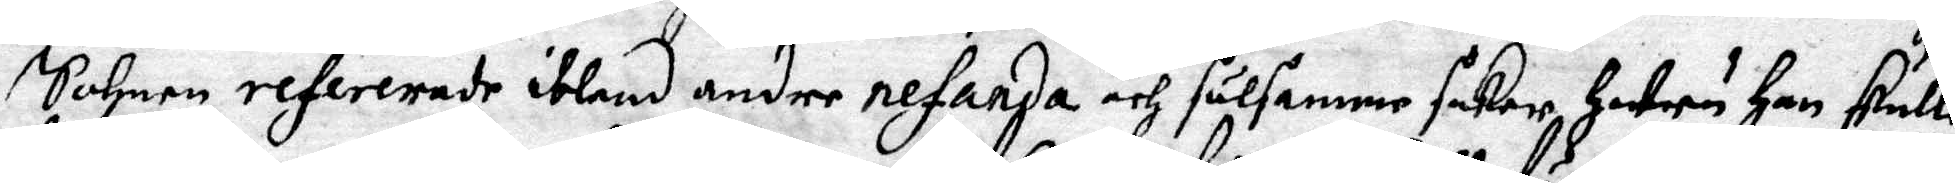Sohnen refererade ibland andre resande och sälsamme saker, Huru Han skulle
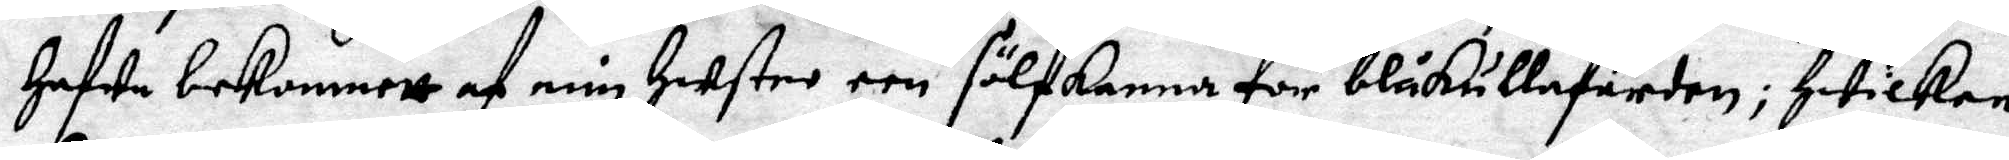Hafwe bekommett af min Hustro een  sölfkanna för blåkullafärden; Hwilken
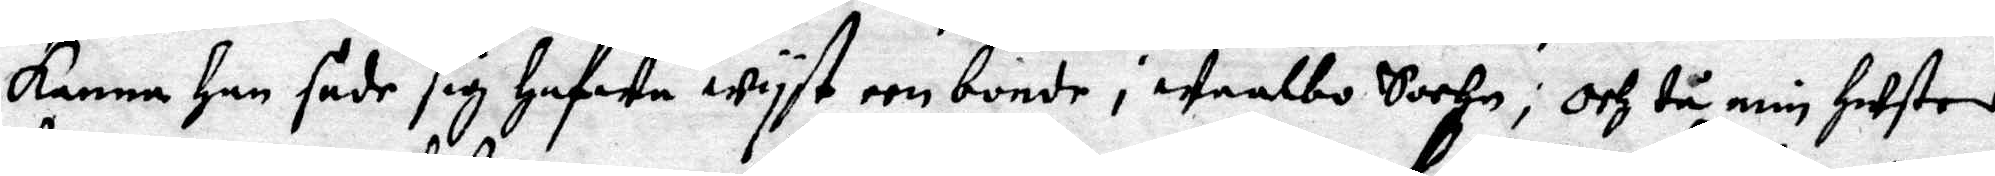kanna Han sade sig Hafwa wyst een bonde i Waalbo Sochn; och tå min Hustro
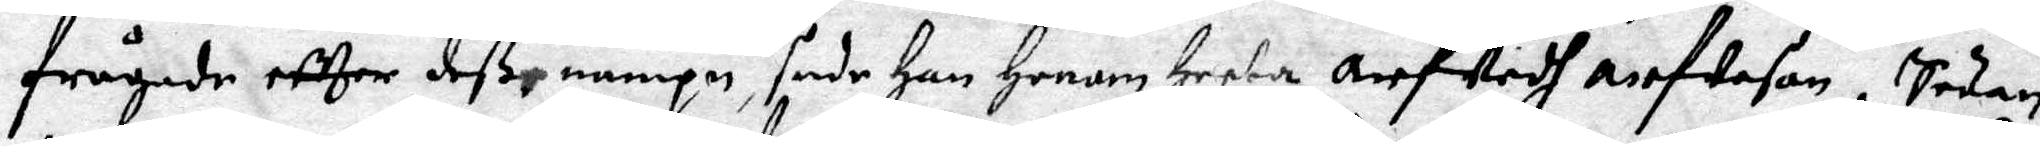frågade eftter deß nampn, sade Han Honom Heeta Arfwidh Arfweson. Sedan
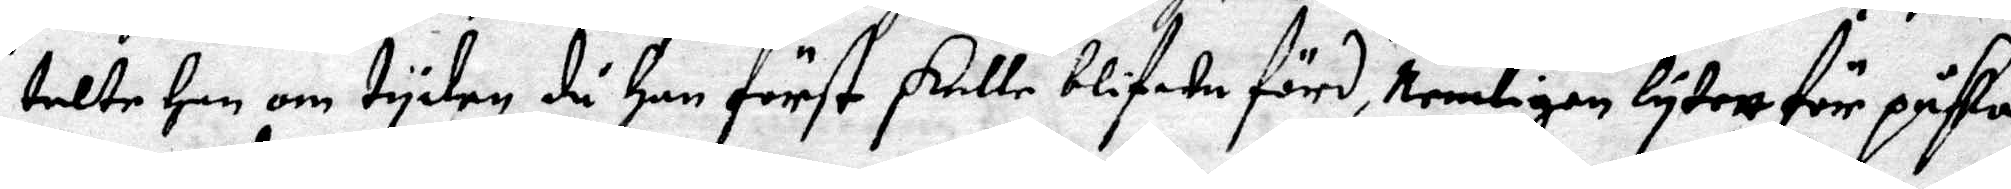talte Han om tyden då Han först skulle blifwa förd, Nemligen lytett för påsken
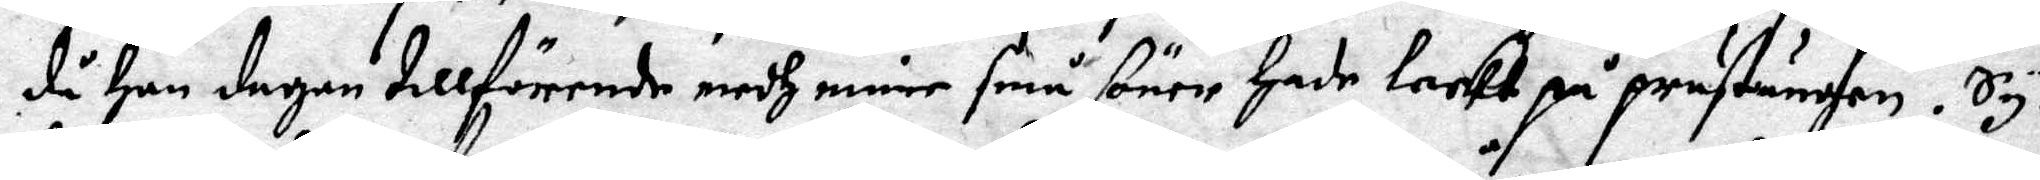då Han dagen tillförende medh mine små söner Hade leekt på prästängen. Sy¬
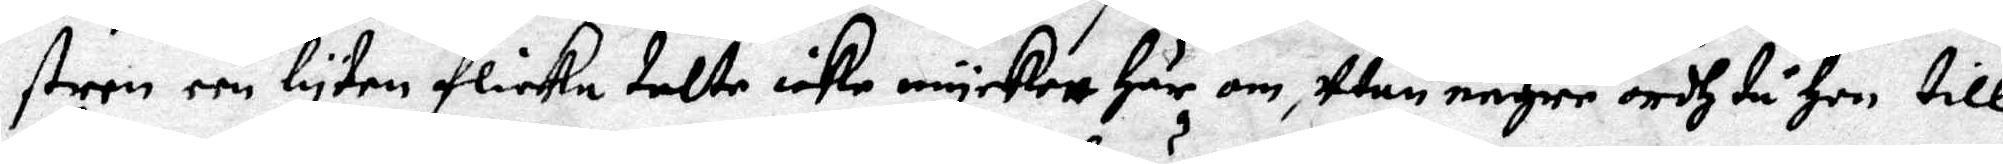stren een lyten flicka talte icke myckett Här om, utan någre ordh tå Hon till¬
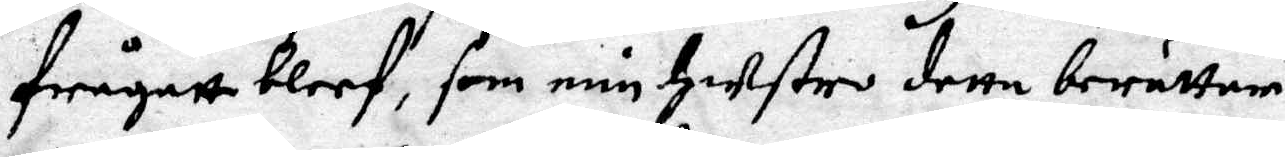frågatt bleef, som min Hustro dette berättar.
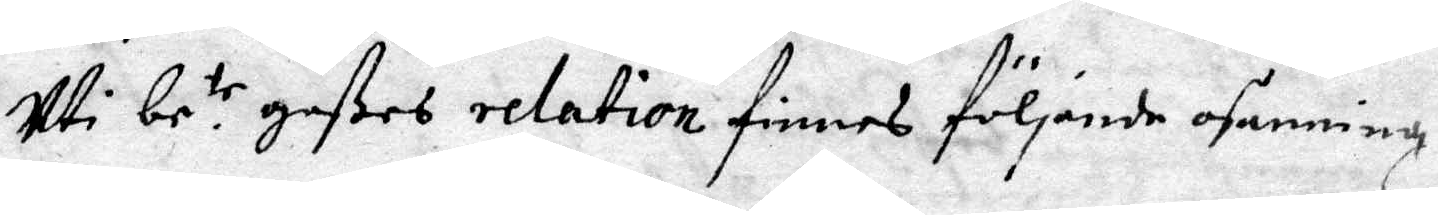uti be.te goßes realation finnes följande osanning.
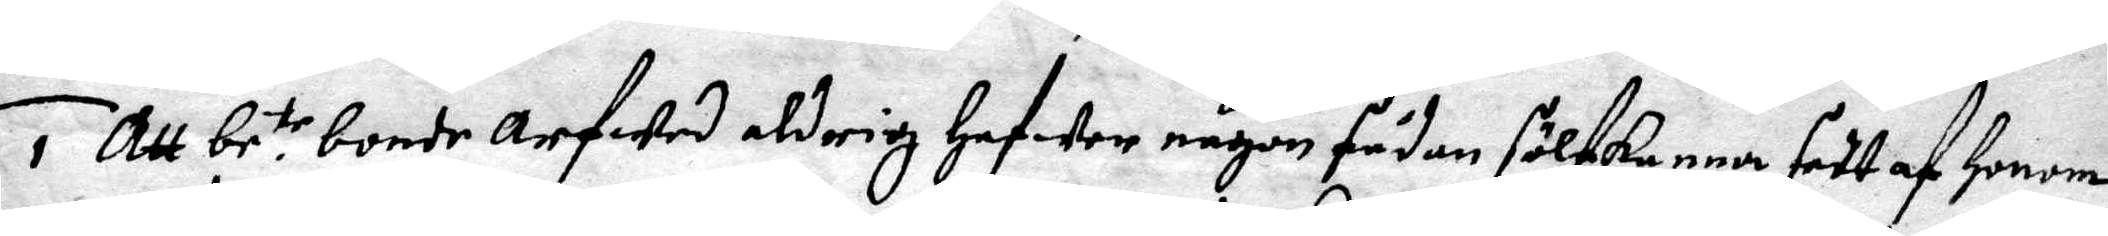1 Att be.te bonde Arfwed aldrig Hafwer någon sådan sölfkanna sett af Honom
